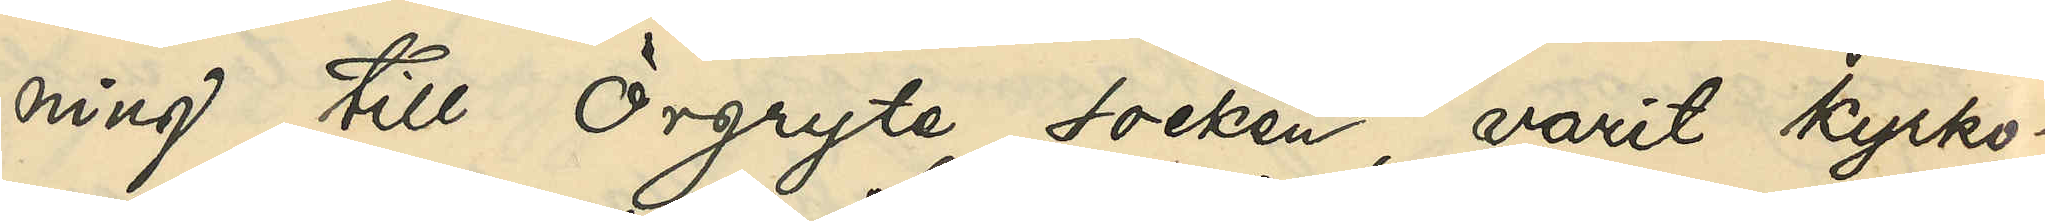ning till Örgryte socken, varit kyrko¬
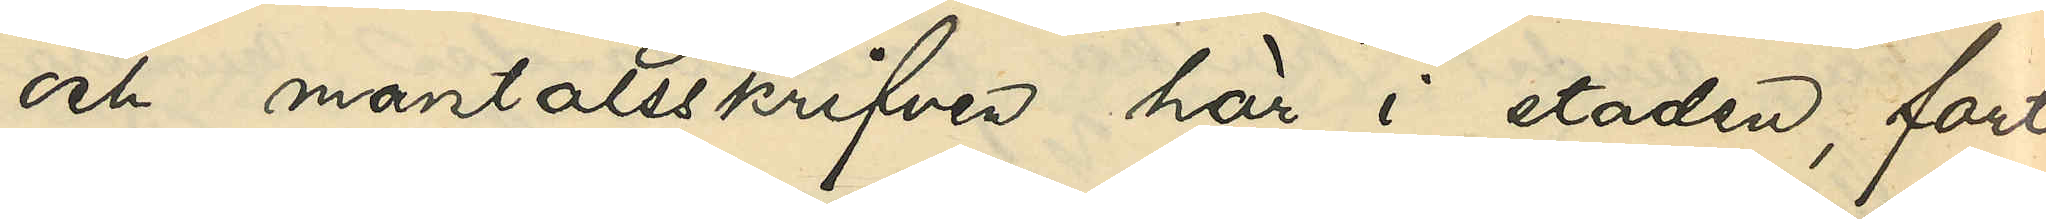och mantalsskrifven här i staden, fort¬
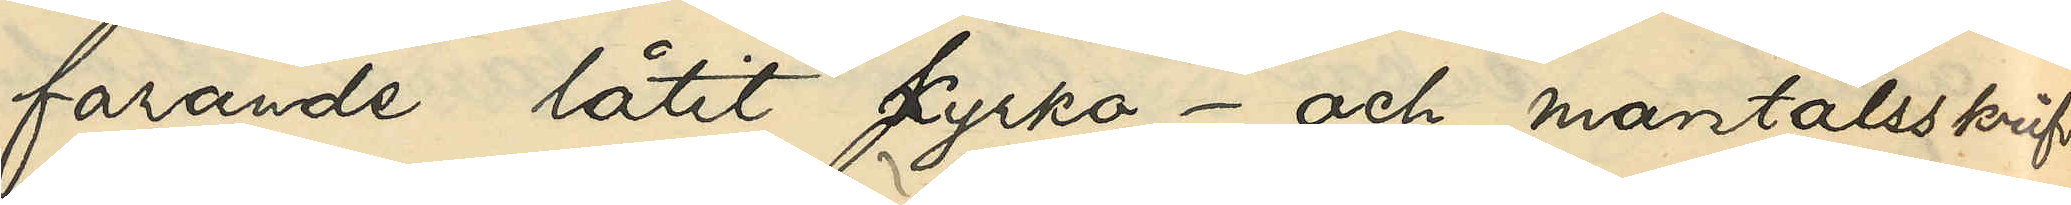farande låtit kyrko- och mantalsskrifva
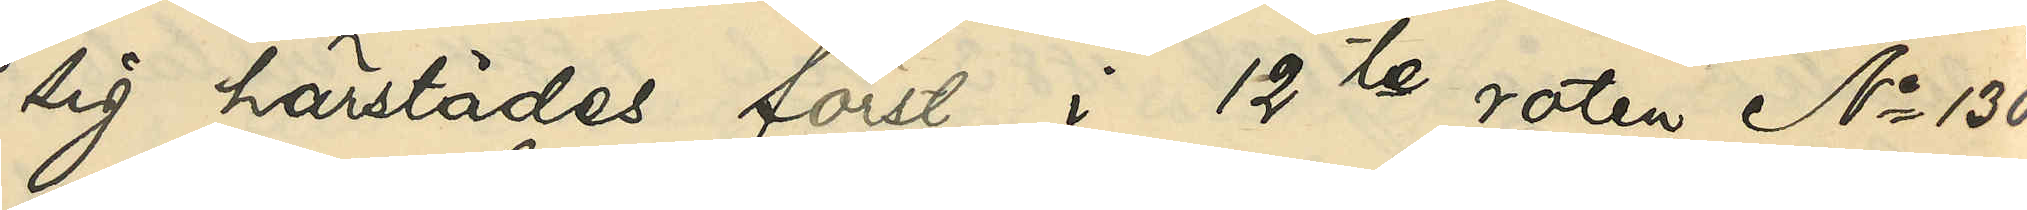sig härstädes först i 12te roten No 130
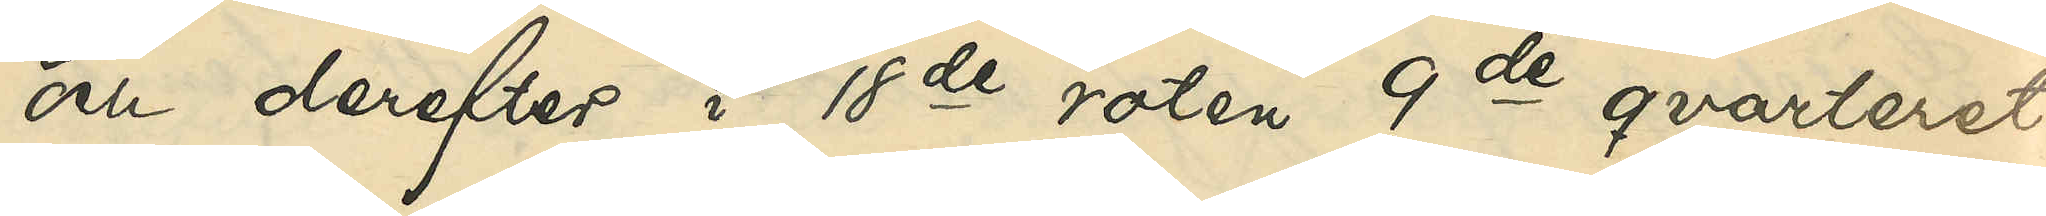och derefter i 18de roten 9de qvarteret
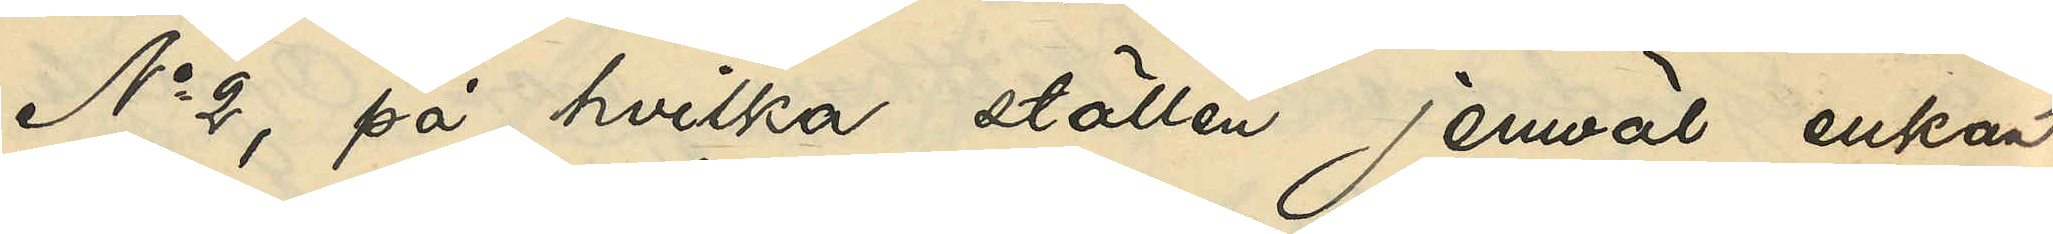No 2, på hvilka ställen jemväl enkan
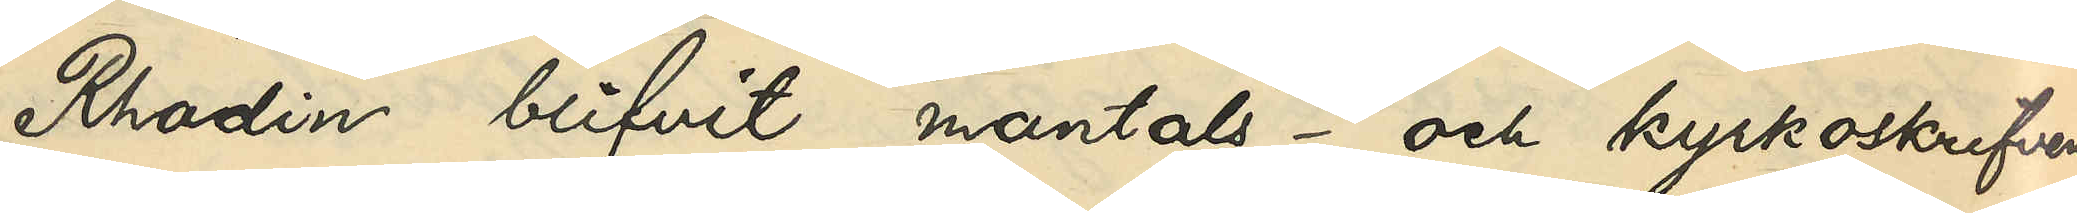Rhodin blifvit mantals- och kyrkoskrifven
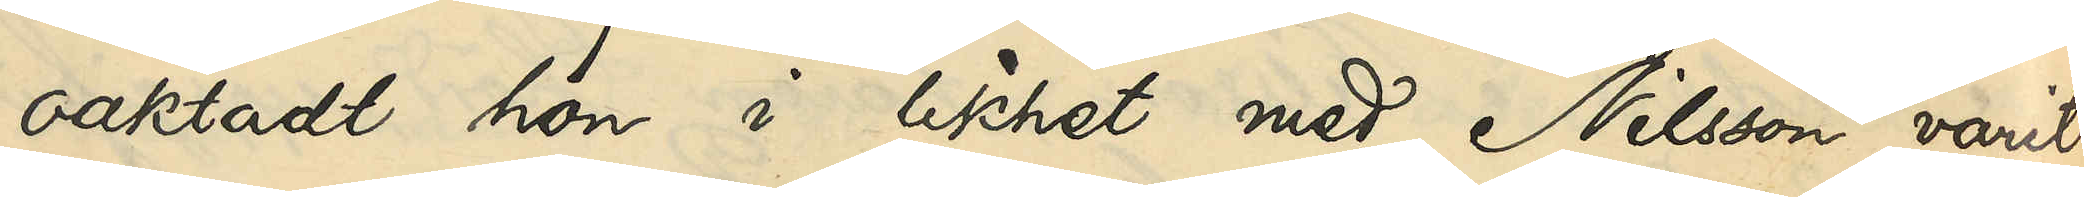oaktadt hon i likhet med Nilsson varit
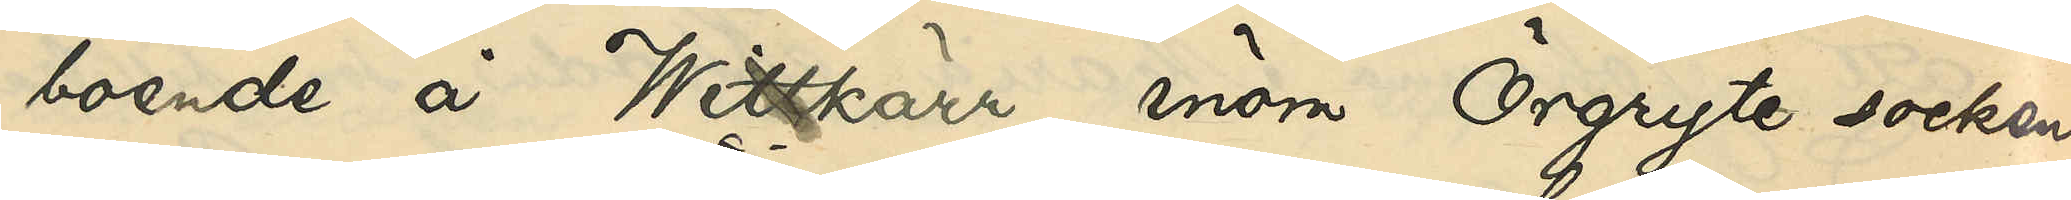boende å Wittkärr inom Örgryte socken
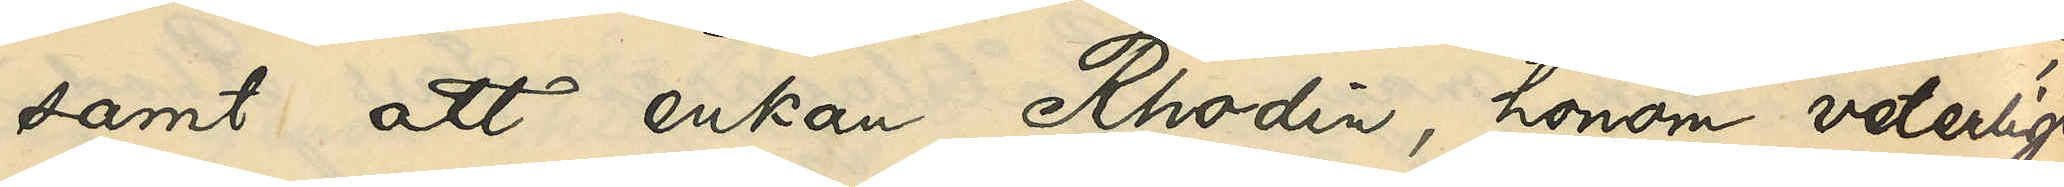samt att enkan Rhodin, honom veterligt,
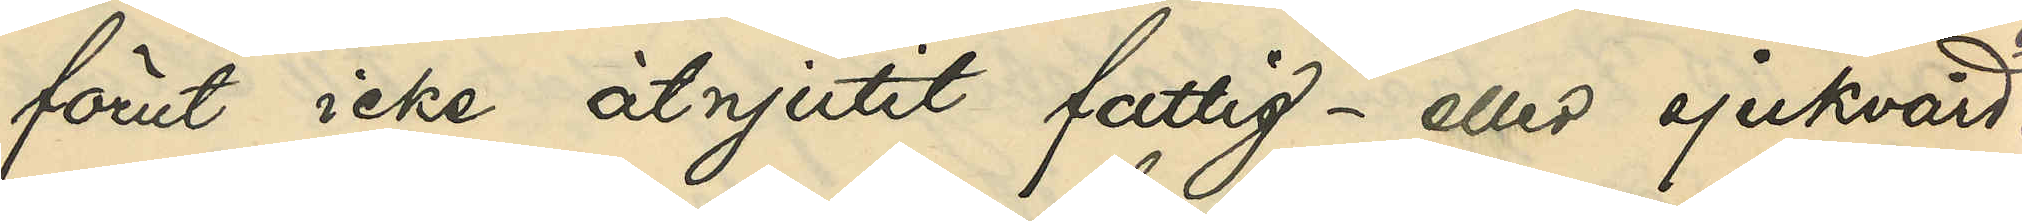förut icke åtnjutit fattig- eller sjukvård.
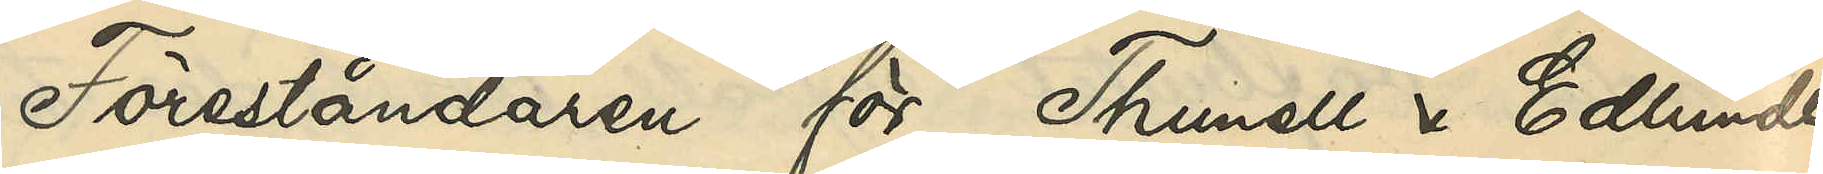Föreståndaren för Thunell & Edlunds
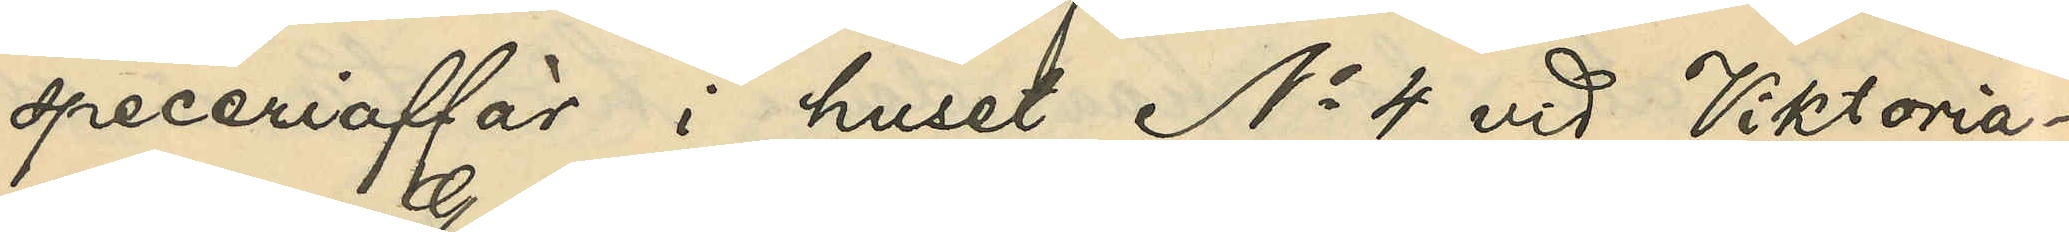speceriaffär i huset No 4 vid Viktoria¬
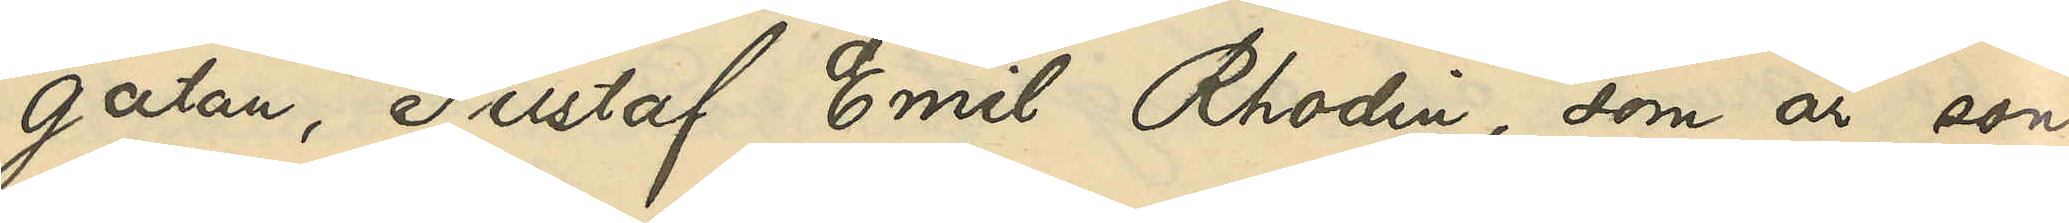gatan, Gustaf Emil Rhodin, som är son
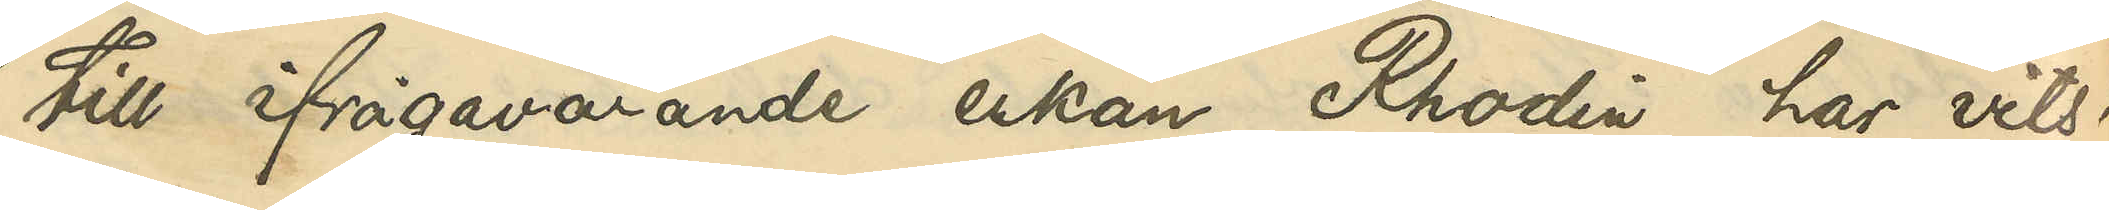till ifrågavarande enkan Rhodin har, vits¬
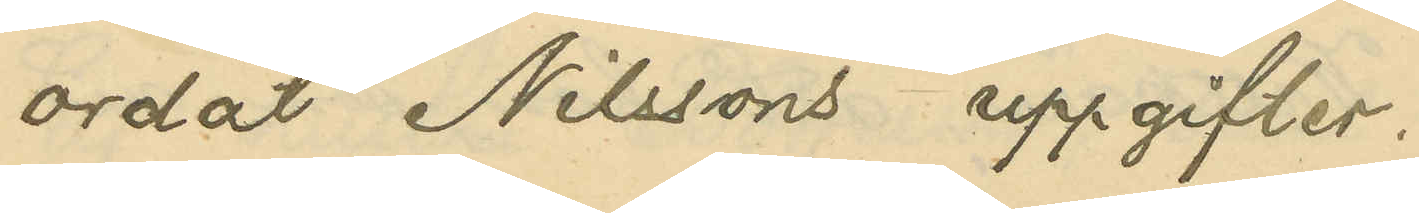ordat Nilssons uppgifter.
